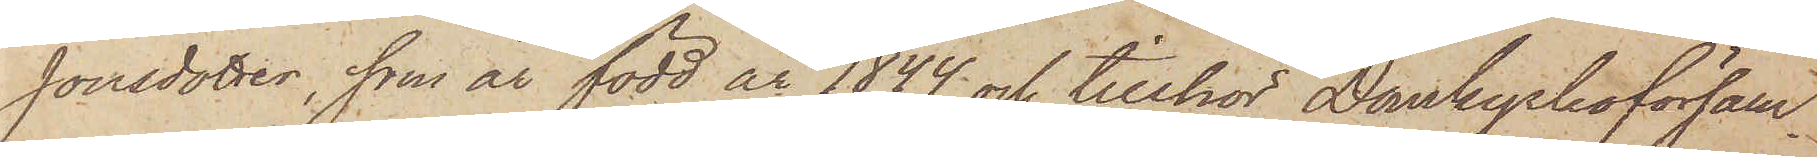Jonsdotter, som är född år 1844 och tillhör Domkyrkoförsam¬
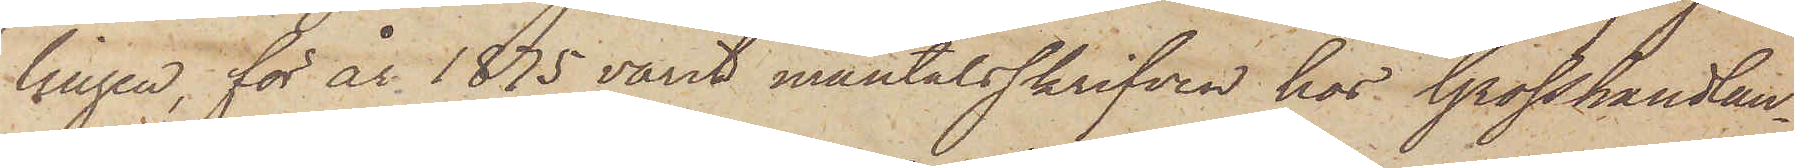lingen, för år 1875 varit mantalsskrifven hos Grosshandlan¬
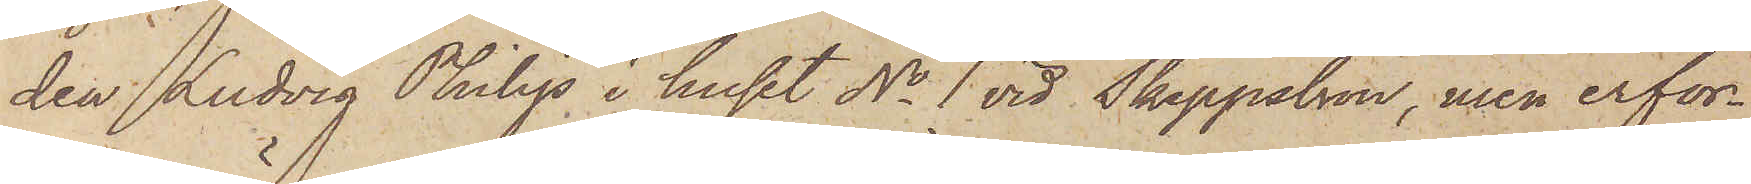den Ludvig Philips i huset No 1 vid Skeppsbron, men erfor¬
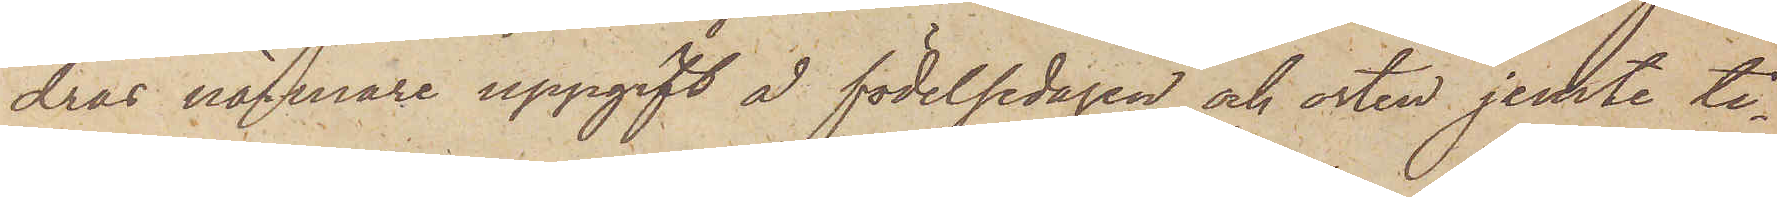dras närmare uppgift å födelsedagen och osten jemte ti¬
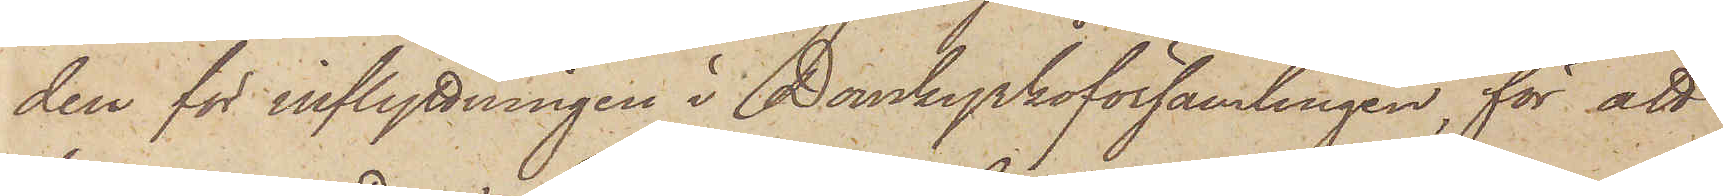den för inflyttningen i Domkyrkoförsamlingen, för att
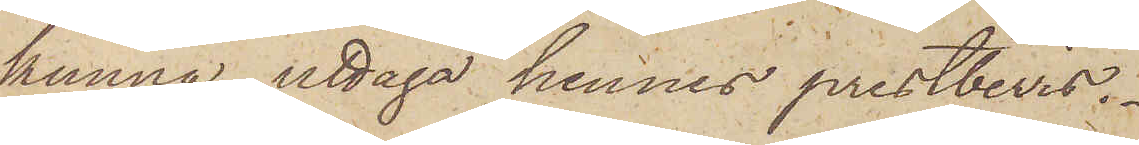kunna uttaga hennes prestbevis.
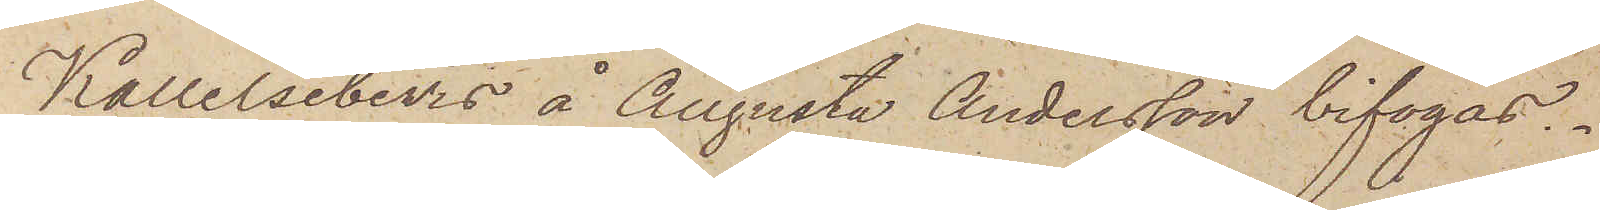Kallelsebevis å Augusta Andersson bifogas.
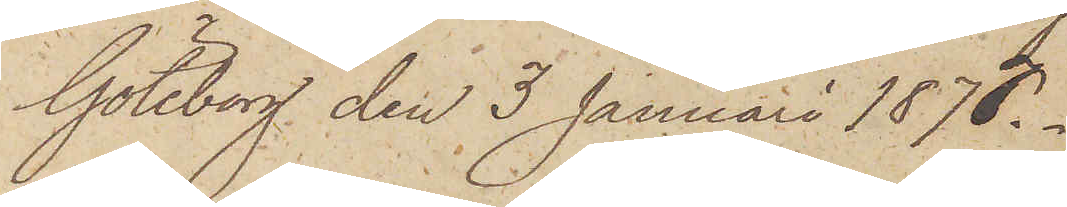Göteborg den 3 Januari 1877.
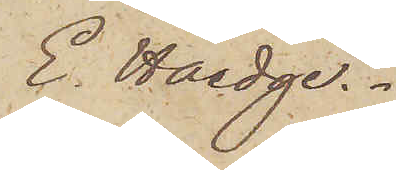E. Haedge.
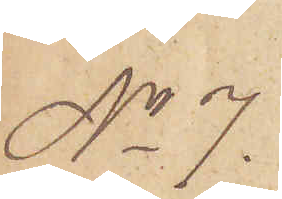No 7.
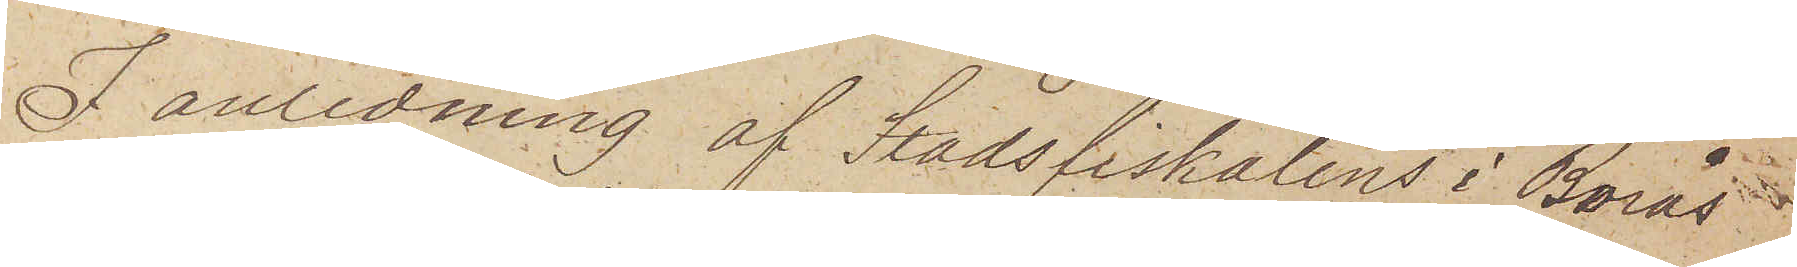I anledning af Stadsfiskalens i Borås
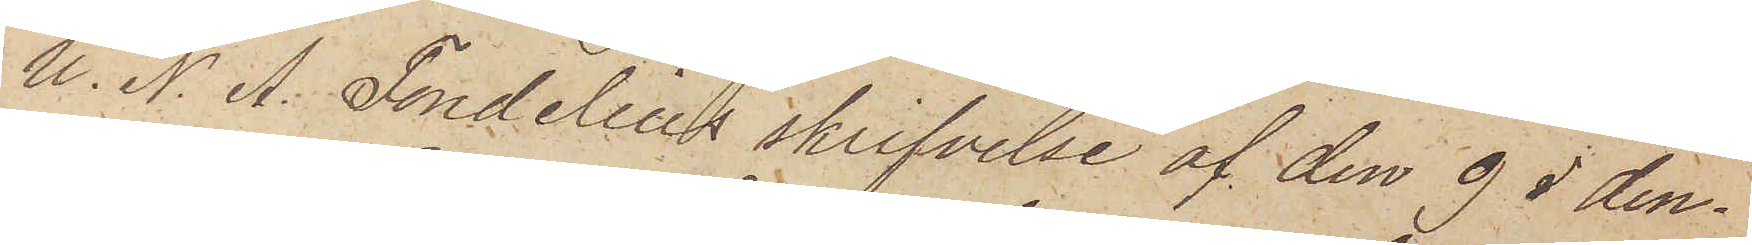U. N. A. Fondelius skrifvelse af den 9 i den¬
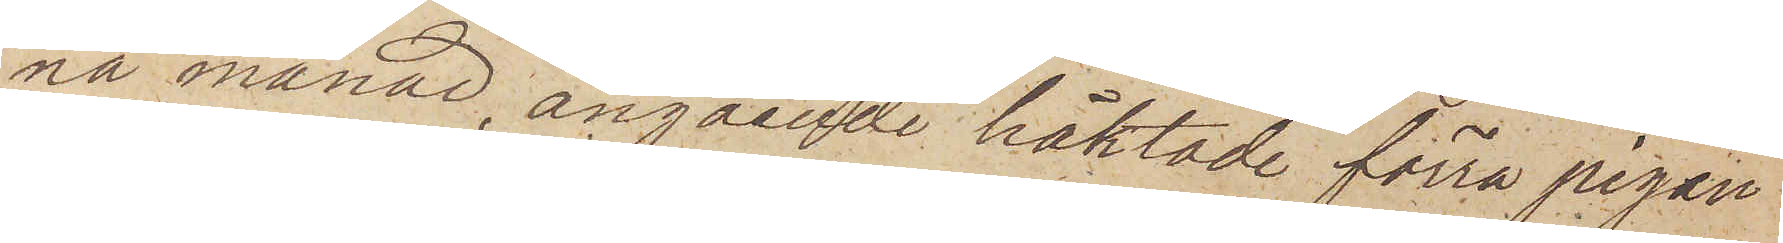na månad, angående häktade förra pigan
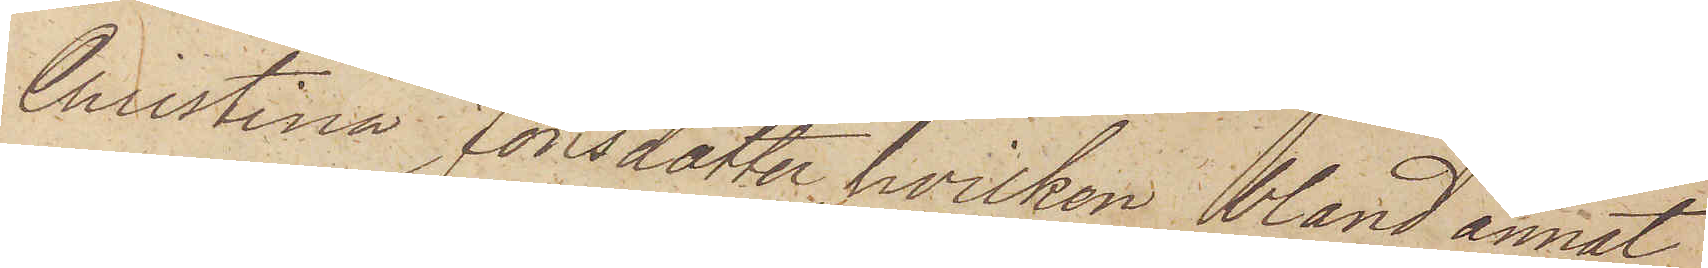Christina Jonsdotter, hvilken bland annat
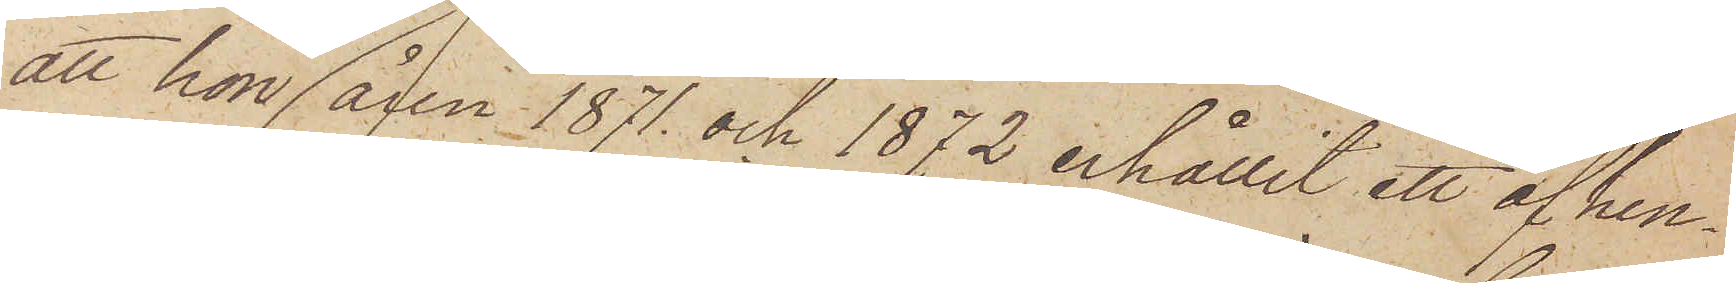att hon åren 1871 och 1872 erhållit ett af hen¬
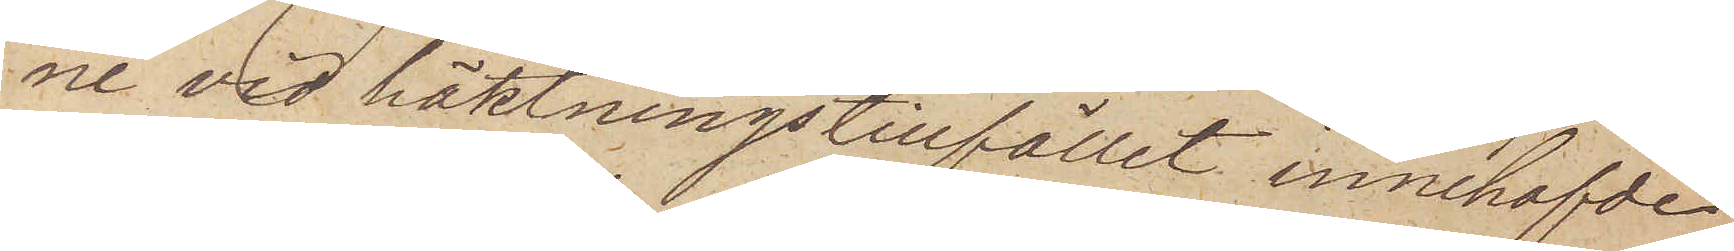ne vid häktningstillfället innehafvde
